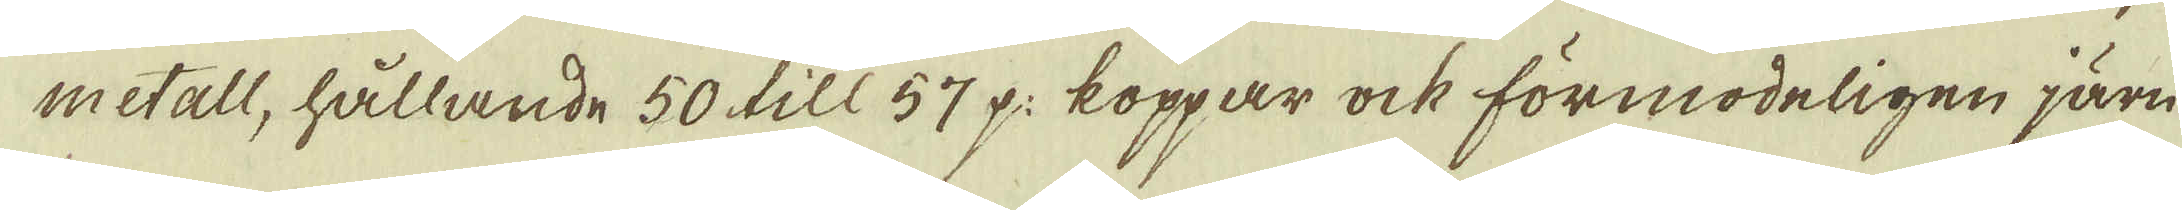metall, hållande 50 till 57 p: koppar ock förmodeligen järn
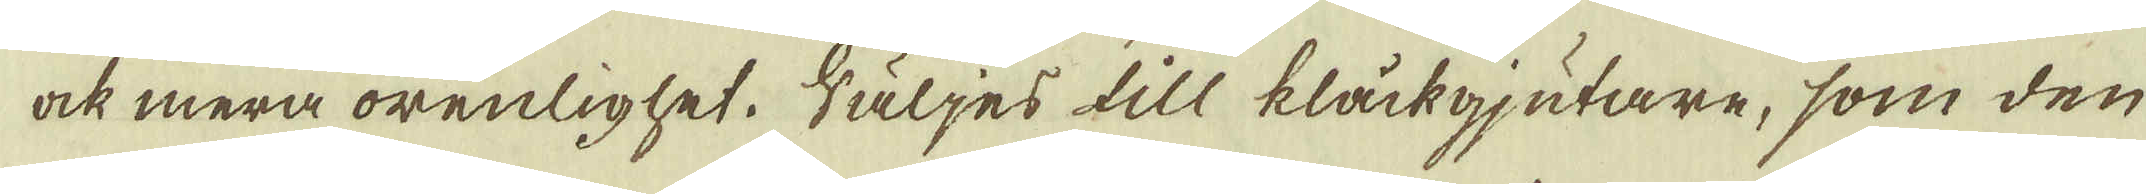ock mera orenlighet. Säljes till klåckgjutare, som den
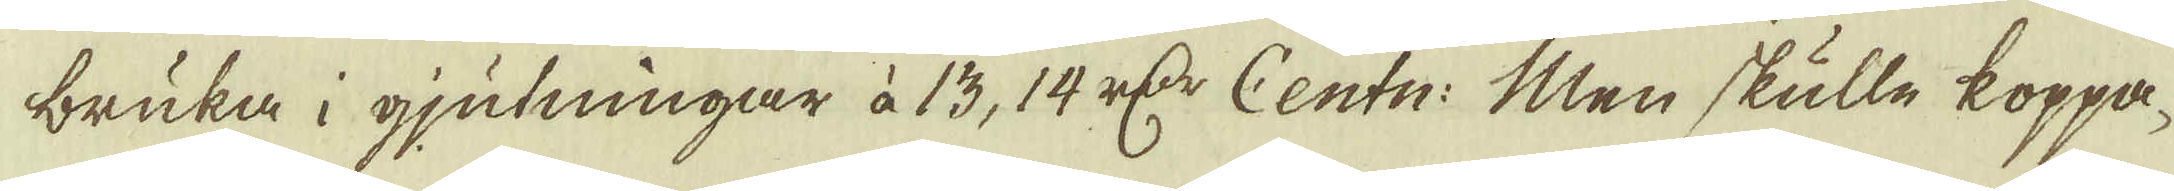bruka i gjutningar à 13, 14 r:dr Centn: Men skulle koppa-
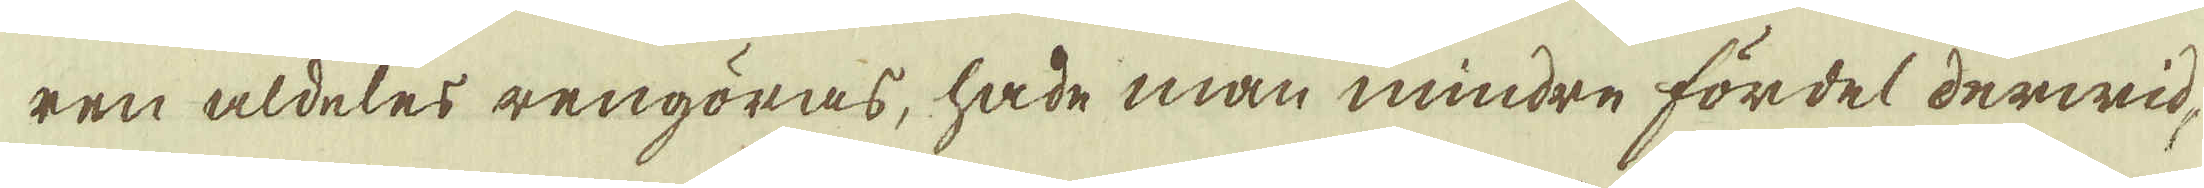ren aldeles rengöras, hade man mindre fördel derwid,
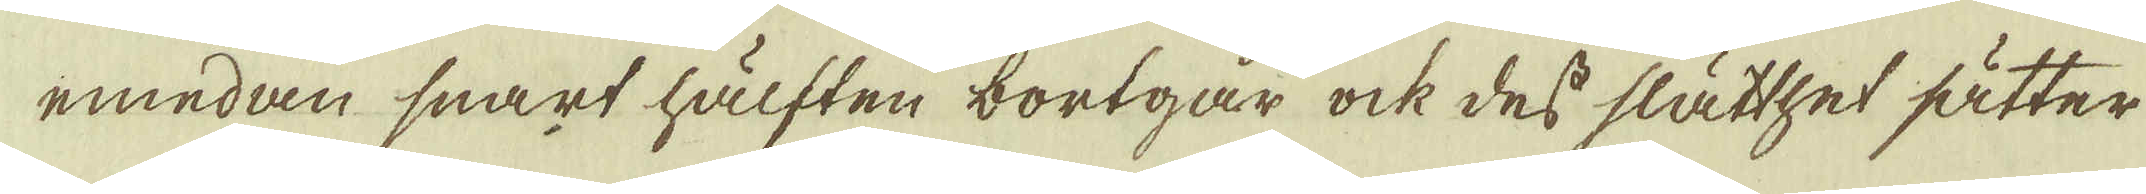emedan snart hälften bortgår ock des slätthet sätter
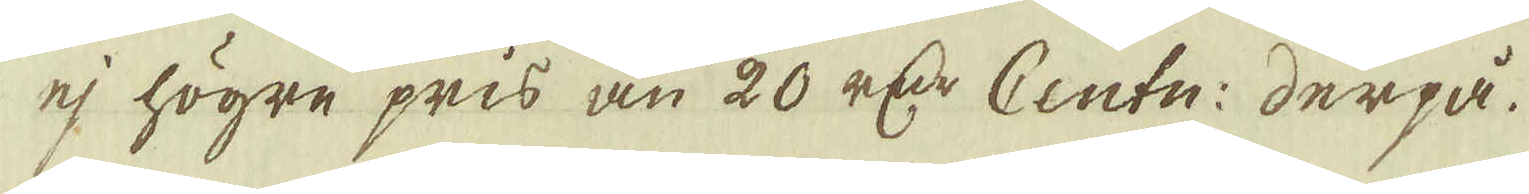ej högre pris än 20 r:dr Centn: derpå.
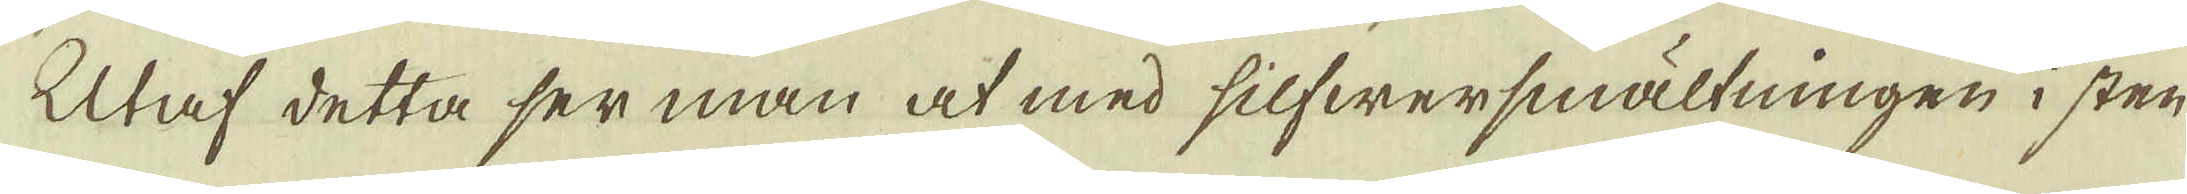Utaf detta ser man at med silfwersmältningen i sten
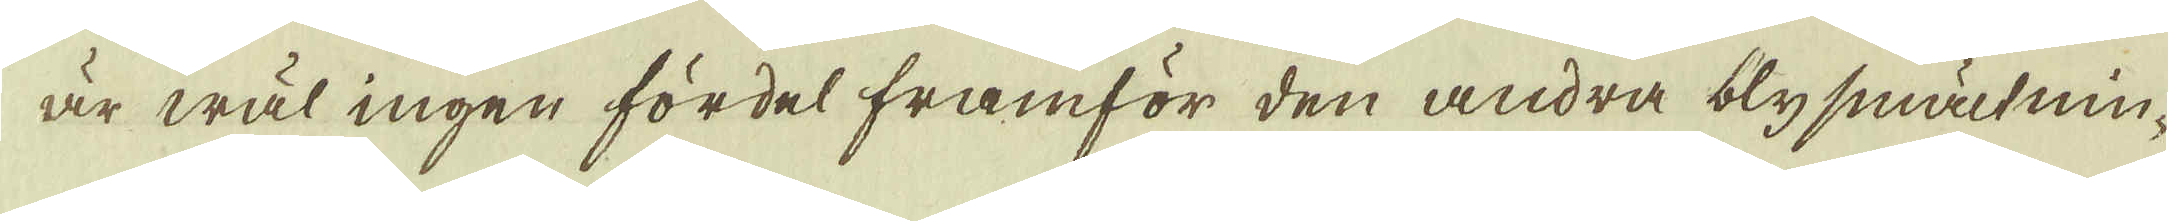är wäl ingen fördel framför den andra blysmältnin-
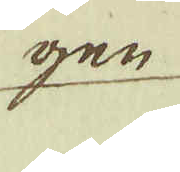gen
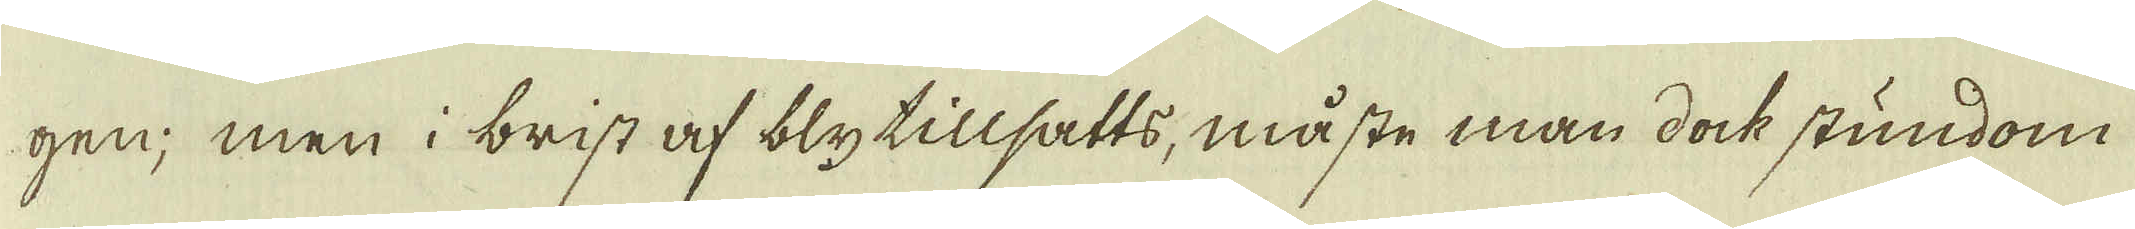gen; men i brist af blytillsatts, måste man dock stundom
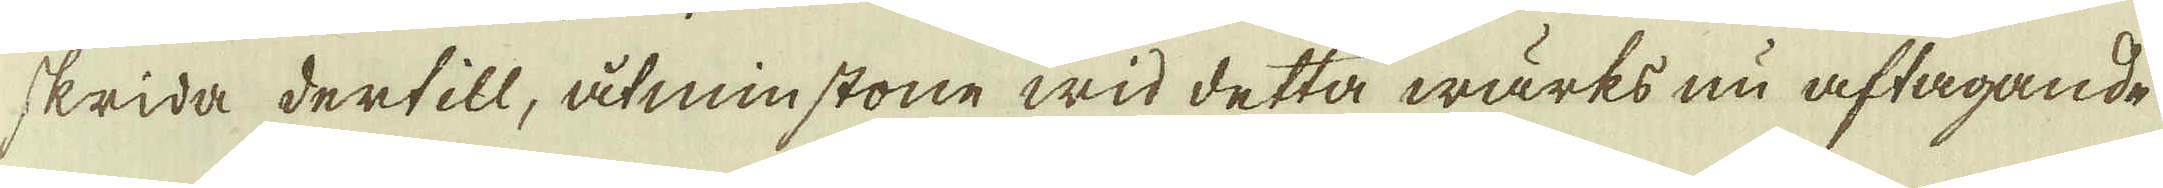skrida dertill, åtminstone wid detta wärks nu aftagande
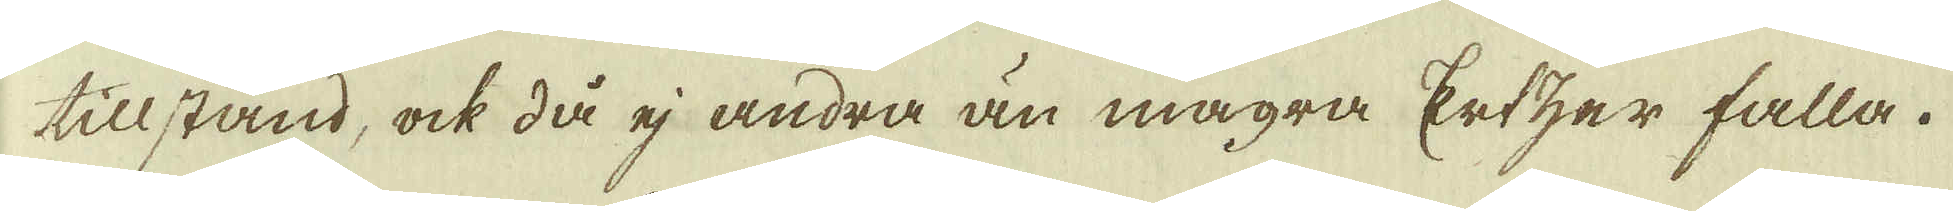tillstånd, ock då ej andra än magra Ertzer falla.
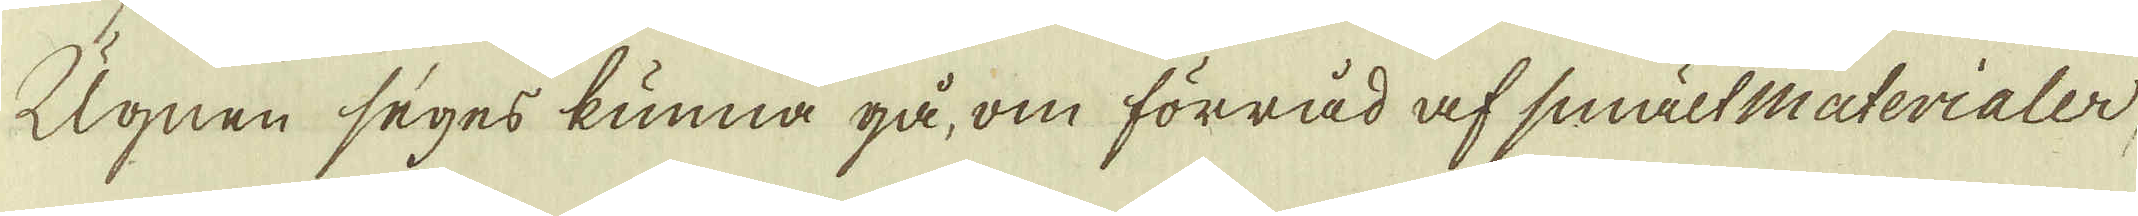Ugnen seges kunna gå, om förråd af smält materialer,
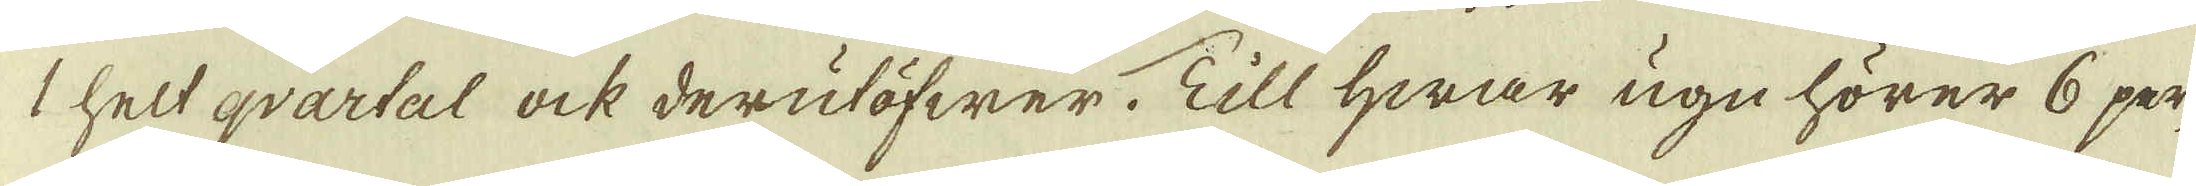1 helt qvartal ock derutöfwer. Till hwar ugn hörer 6 per-
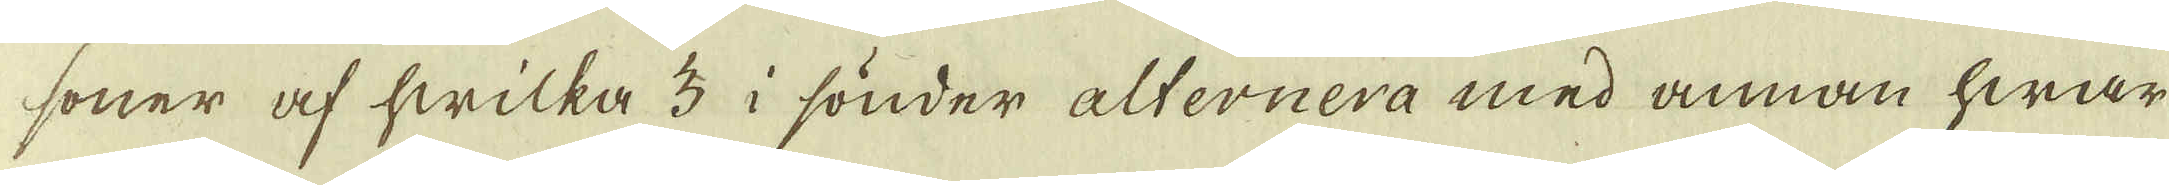soner af hwilka 3 i sönder alternera med annan hwar
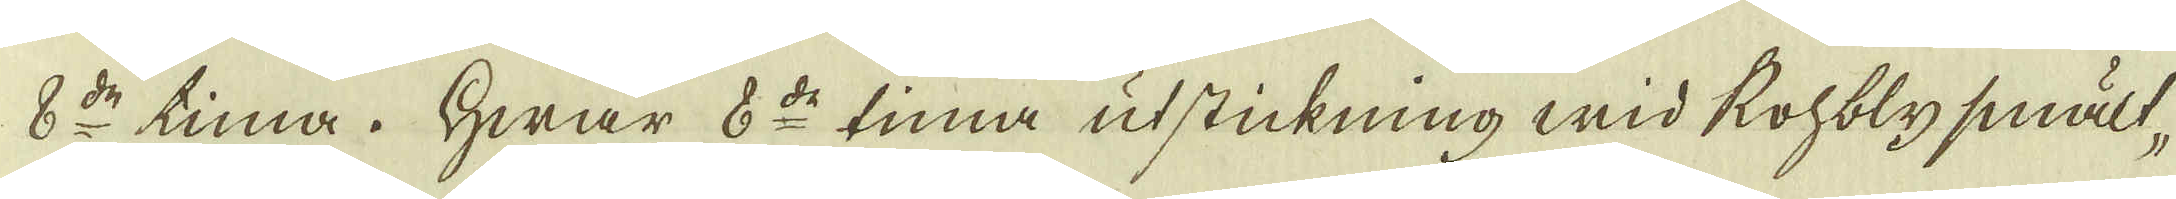8:de tima. Hwar 8:de tima utstickning wid Rohblysmält-
